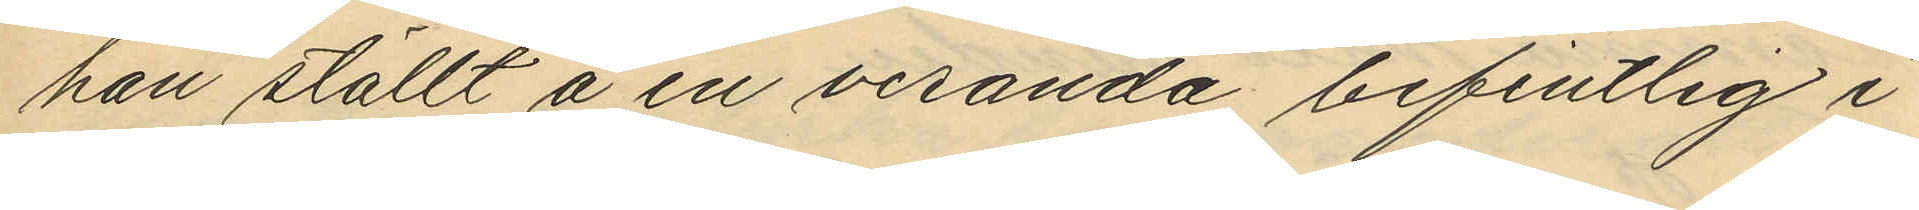han ställt å en veranda befintlig i
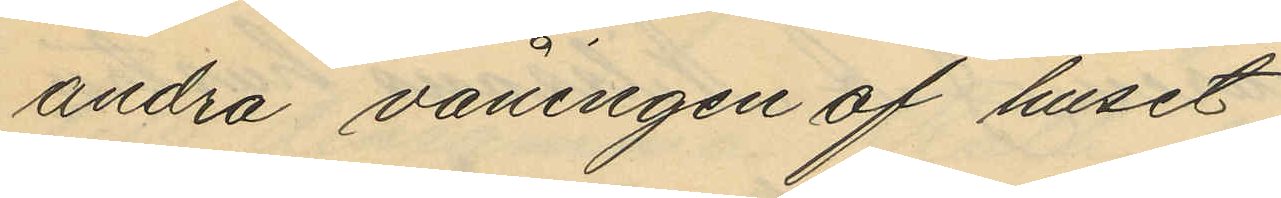andra våningen af huset,
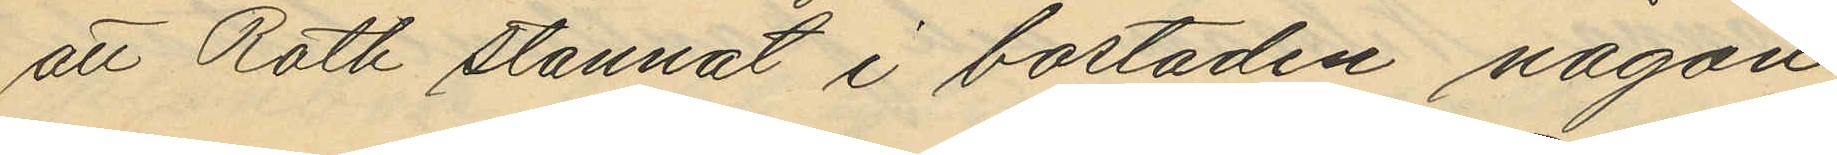att Roth stannat i bostaden någon
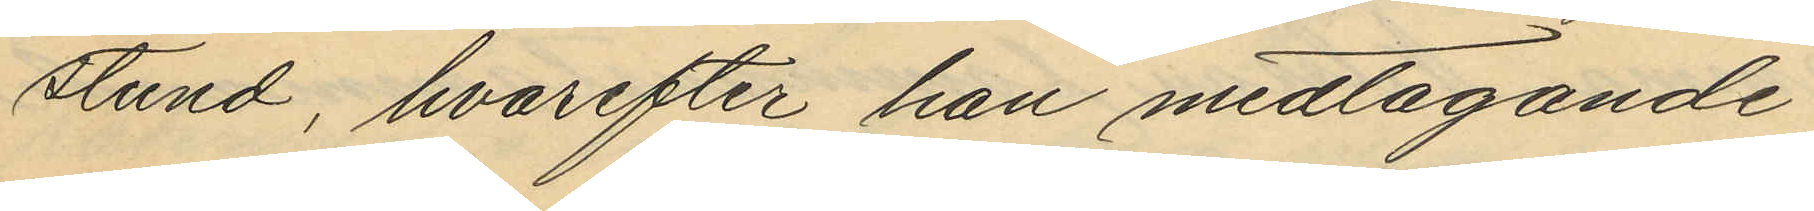stund, hvarefter han medtagande
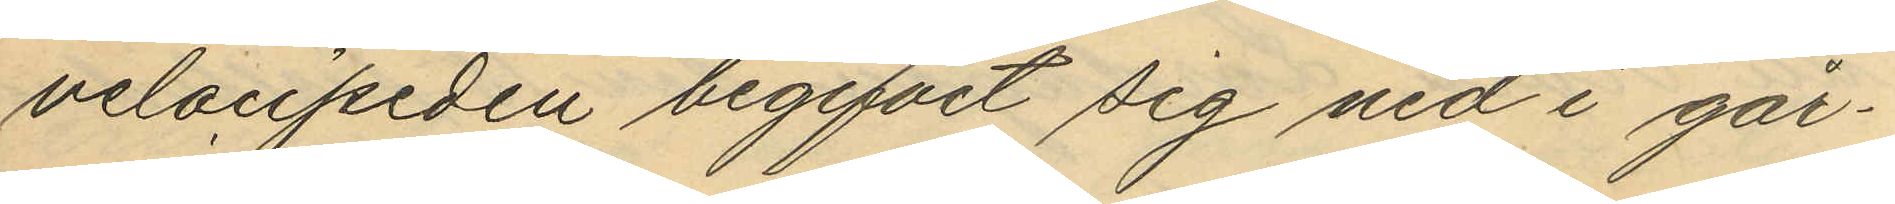velocipeden begifvit sig ned i går¬
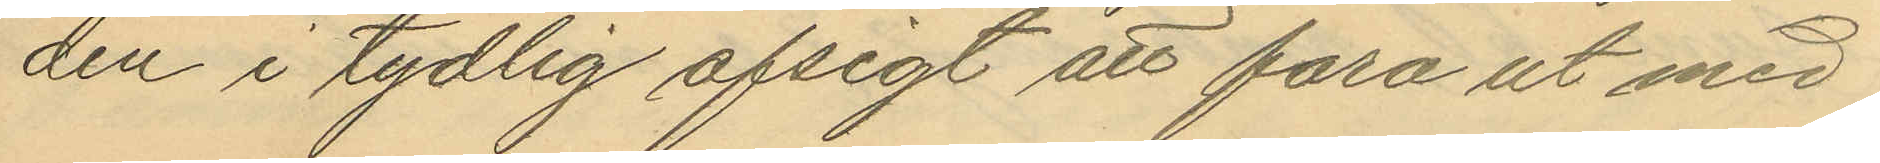den i tydlig afsigt att fara ut med
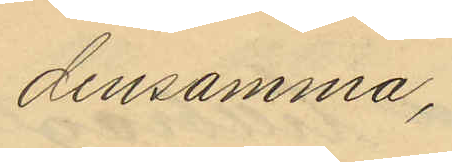densamma,
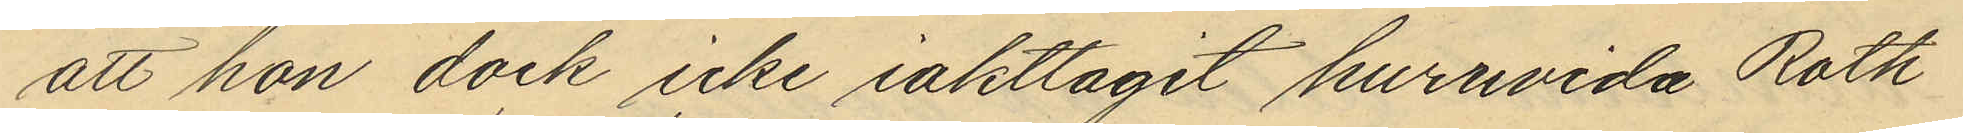att hon dock icke iakttagit huruvida Roth
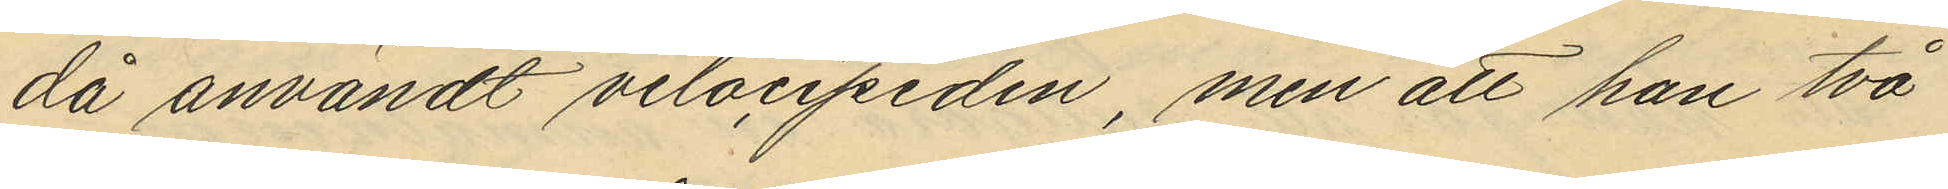då användt velocipeden, men att han två
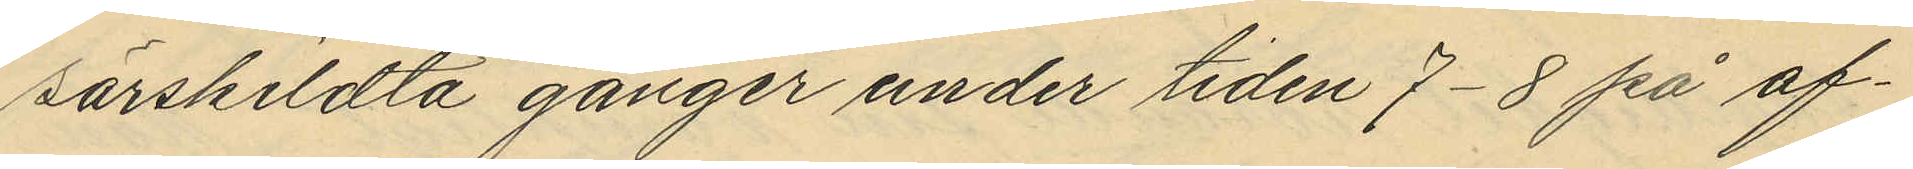särskildta gånger under tiden 7-8 på af¬
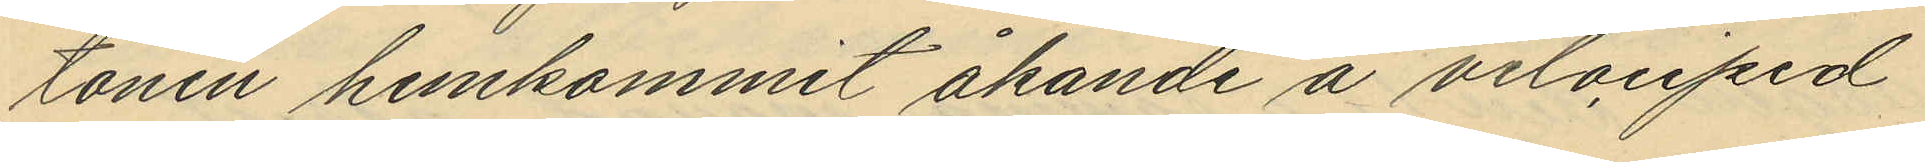tonen hemkommit åkande å velociped
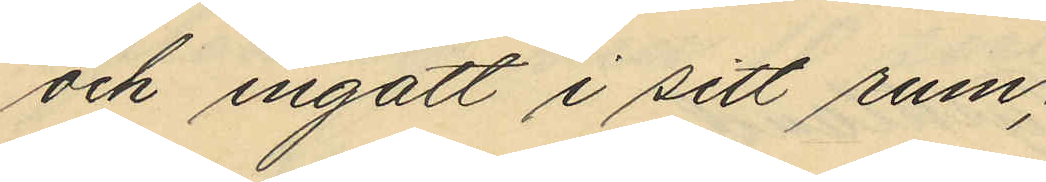och ingått i sitt rum;
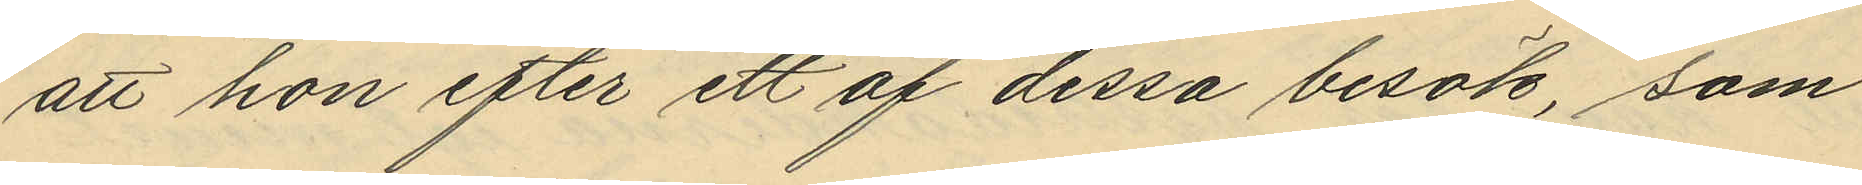att hon efter ett af dessa besök, som
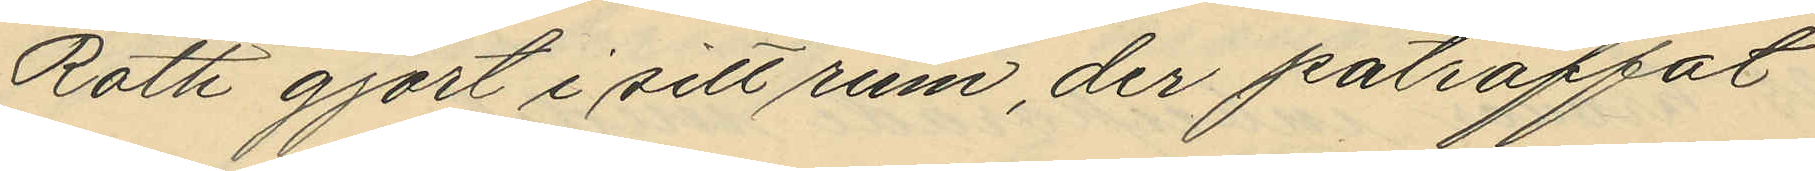Roth gjort i sitt rum, der påträffat
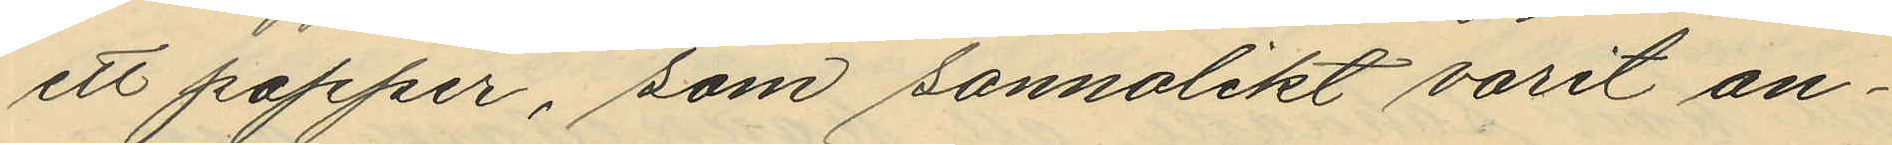ett papper, som sannolikt varit an¬
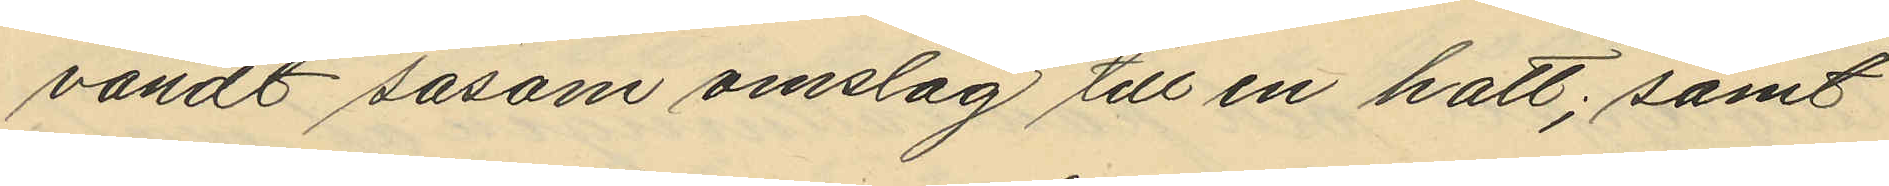vändt såsom omslag till en hatt; samt
